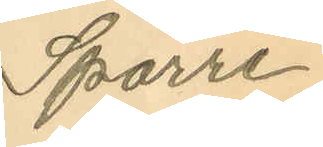Sparre
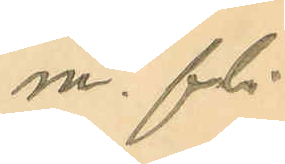m. fl.
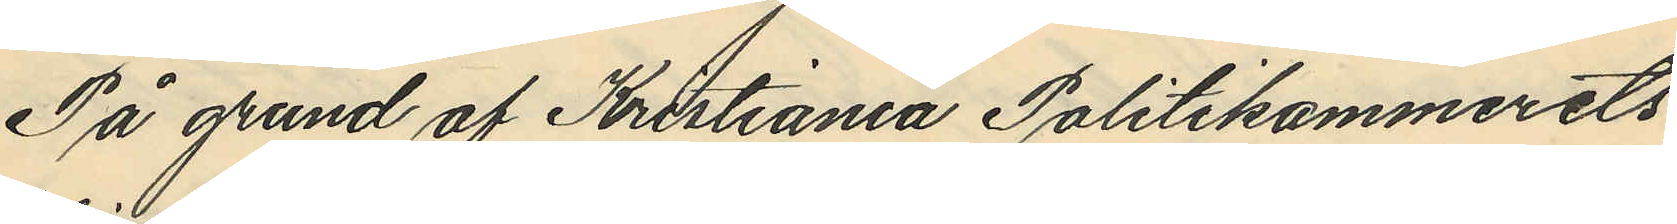På grund af Kristiania Politikammerets
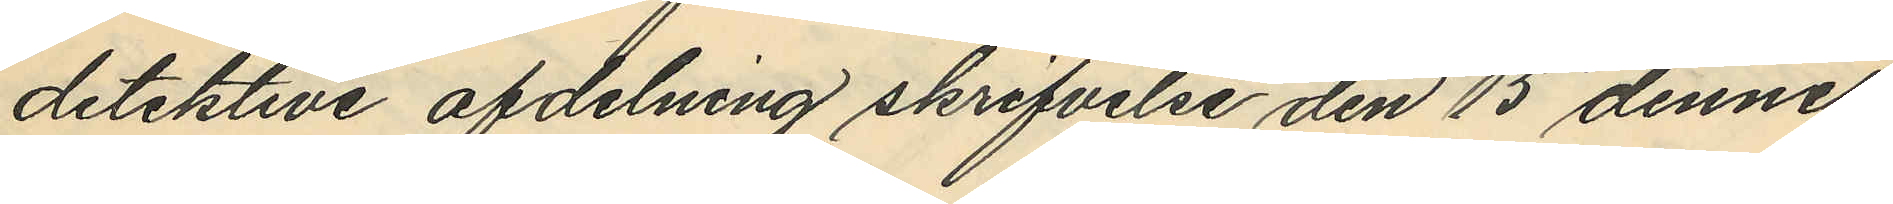detektive afdelning skrifvelse den 15 dennes
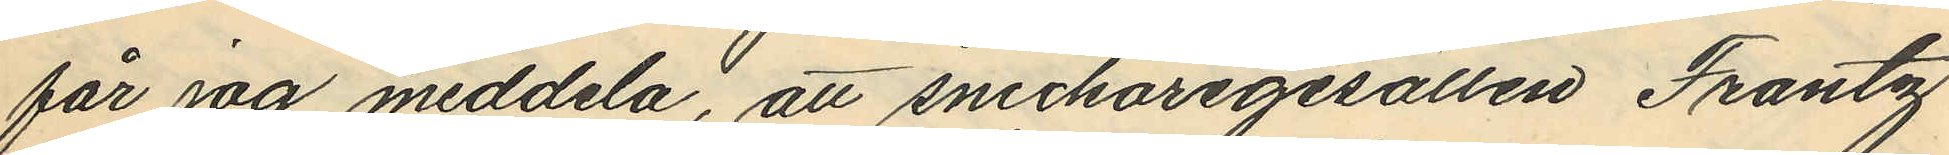får jag meddela, att snickaregesällen Frantz
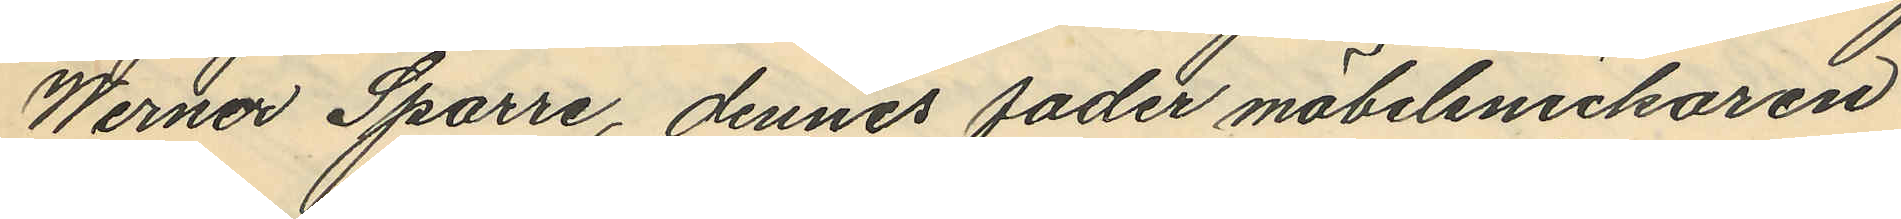Werner Sparre, dennes fader möbelsnickaren
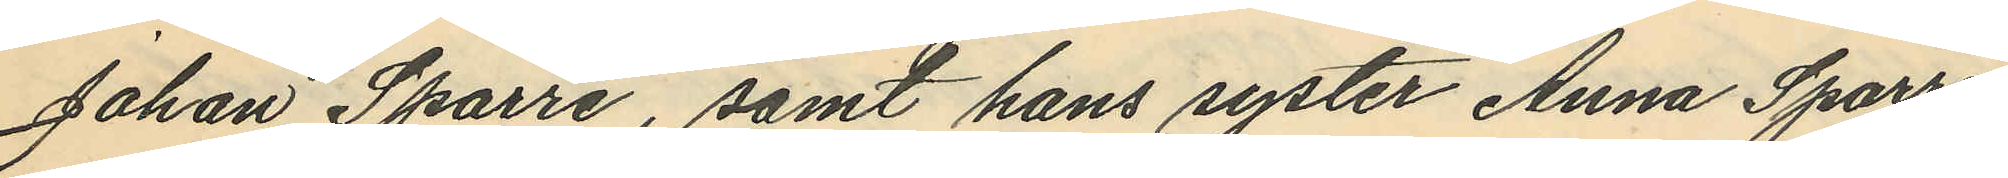Johan Sparre, samt hans syster Anna Sparre,
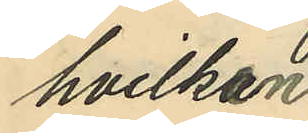hvilken
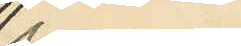senare
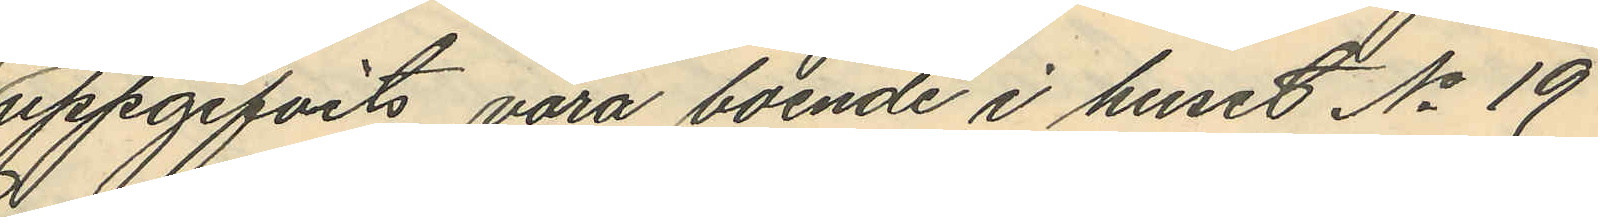uppgifvits vara boende i huset No 19
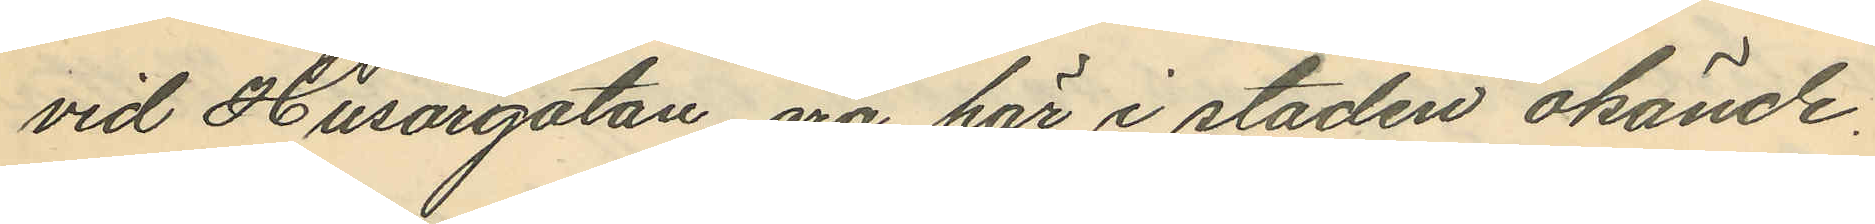vid Husargatan äro här i staden okände.
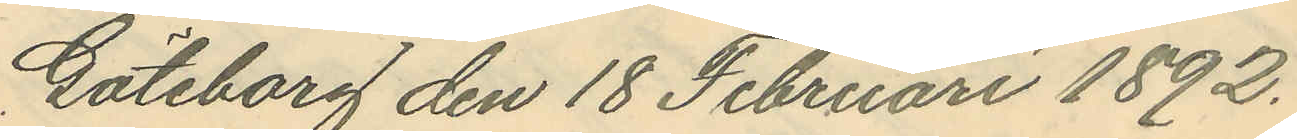Göteborg den 18 Februari 1892.
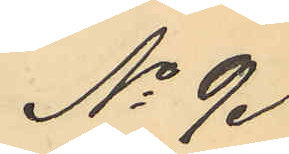No 9.
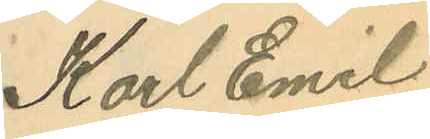Karl Emil
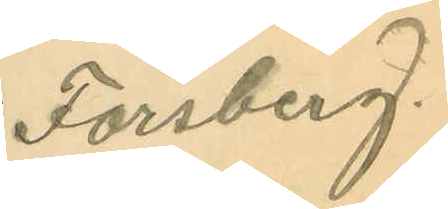Forsberg.
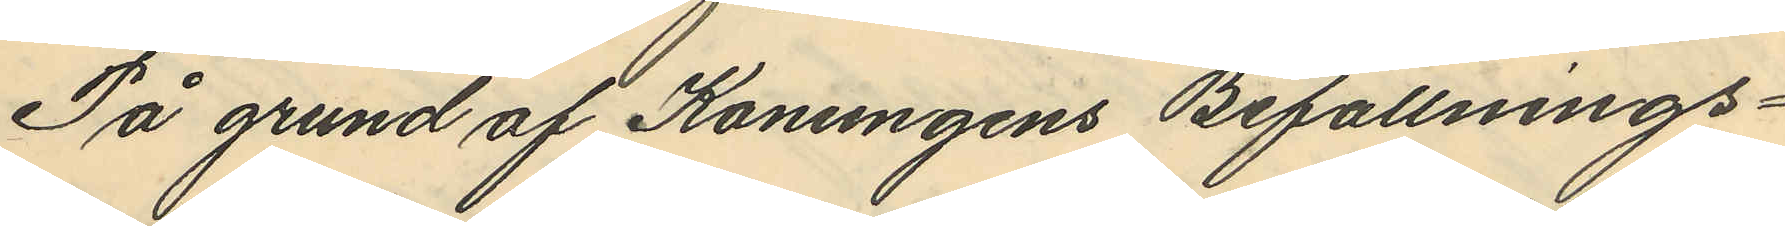På grund af Konungens Befallnings¬
